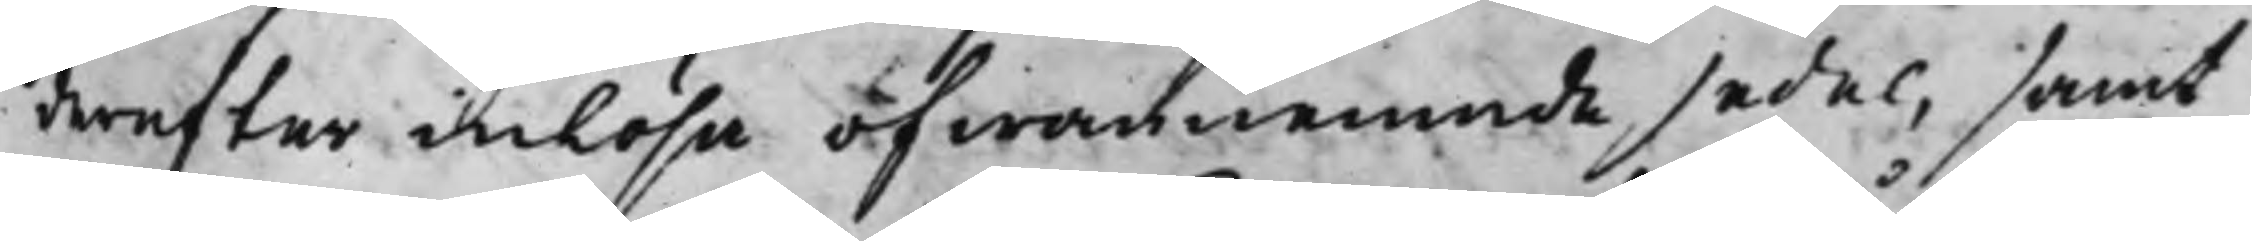dereffter inlösa ofwannemnde sedel, samt
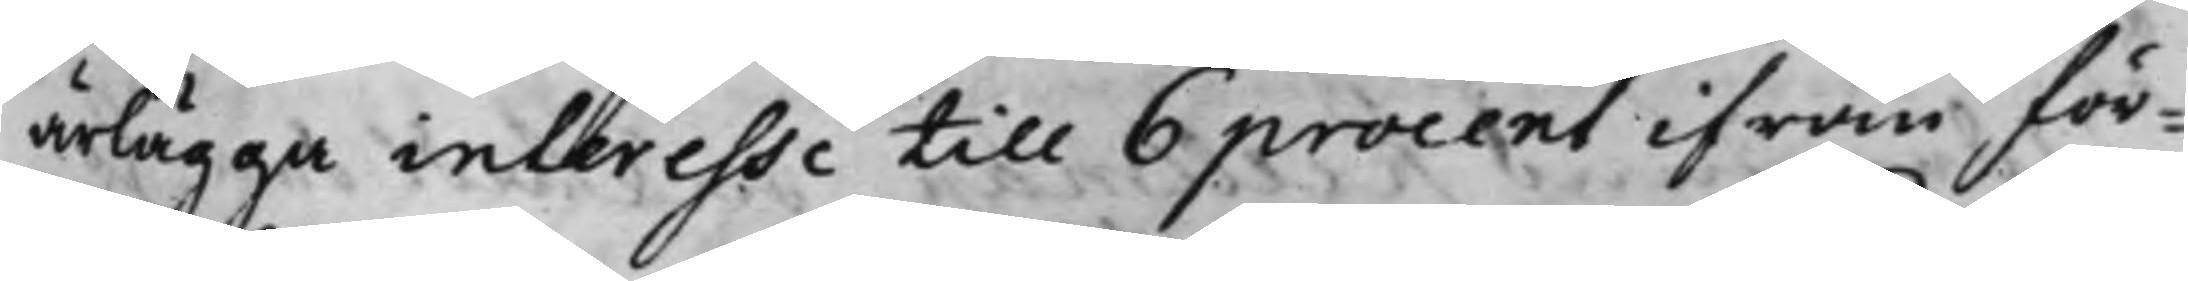ärlägga interesse till 6 procent ifrån för¬
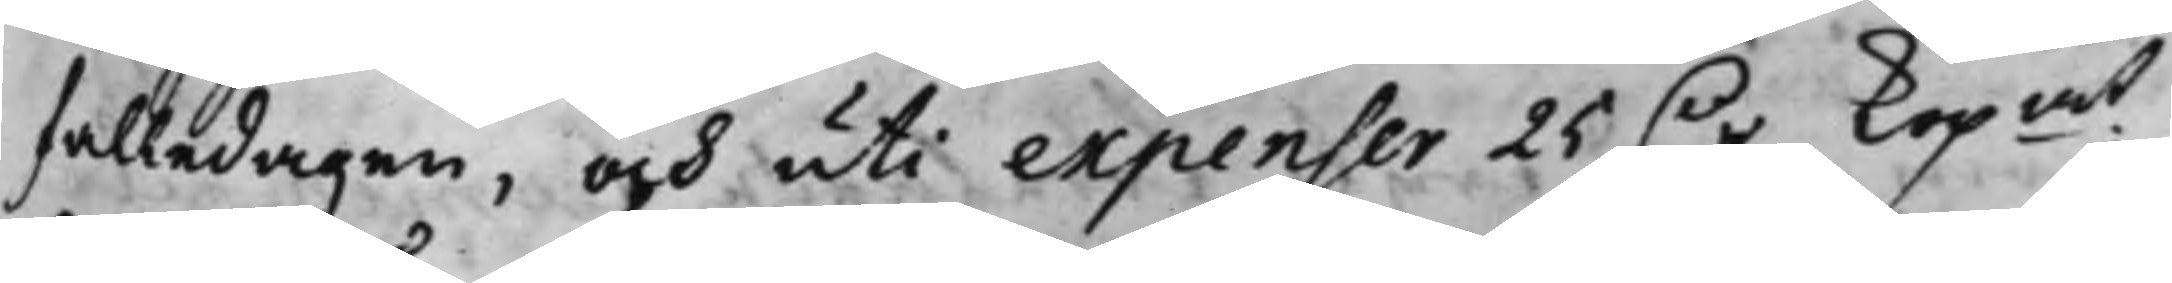falledagen, och uti expenser 25 D.r Kopmt
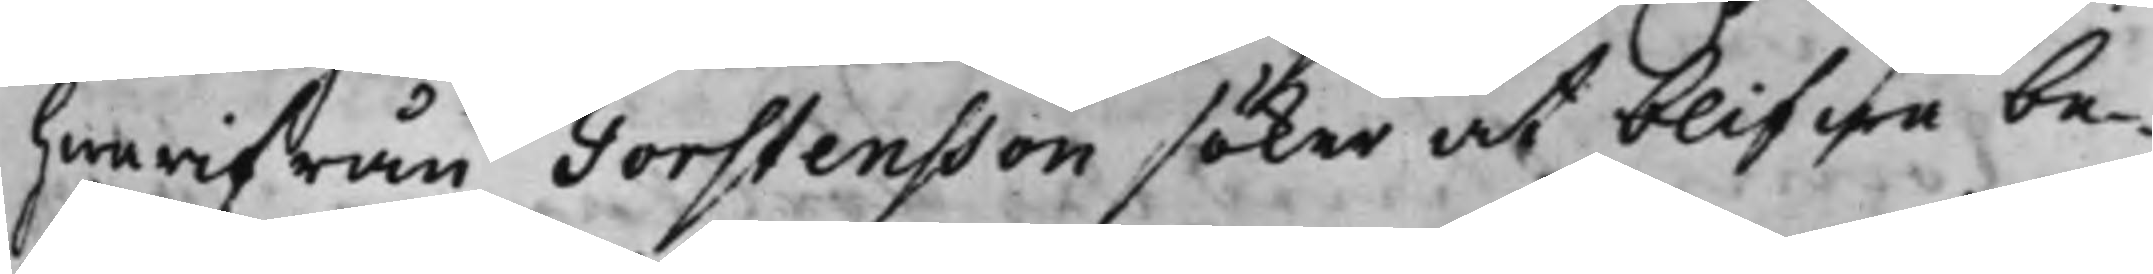hwarifrån Torstensson söker at blifwa be¬
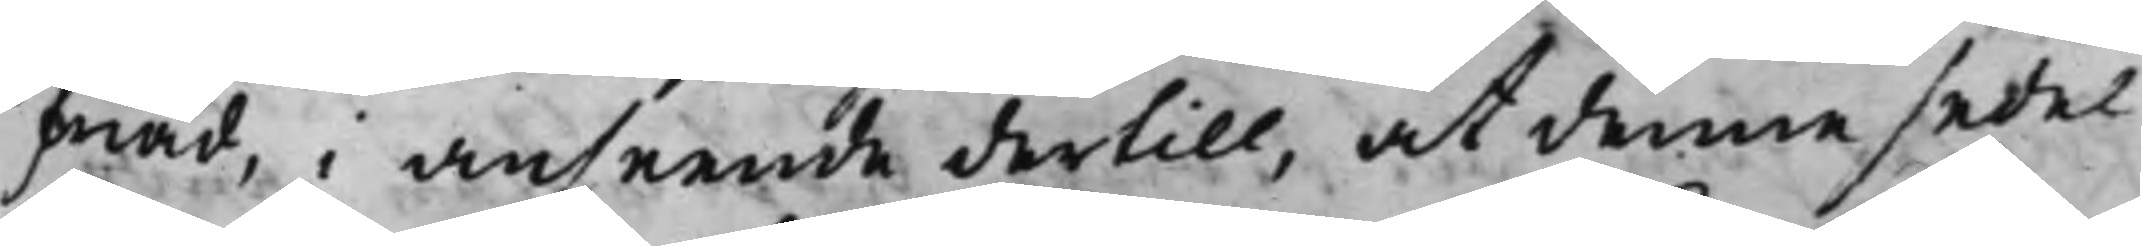friad, i anseende dertill, at denne sedel
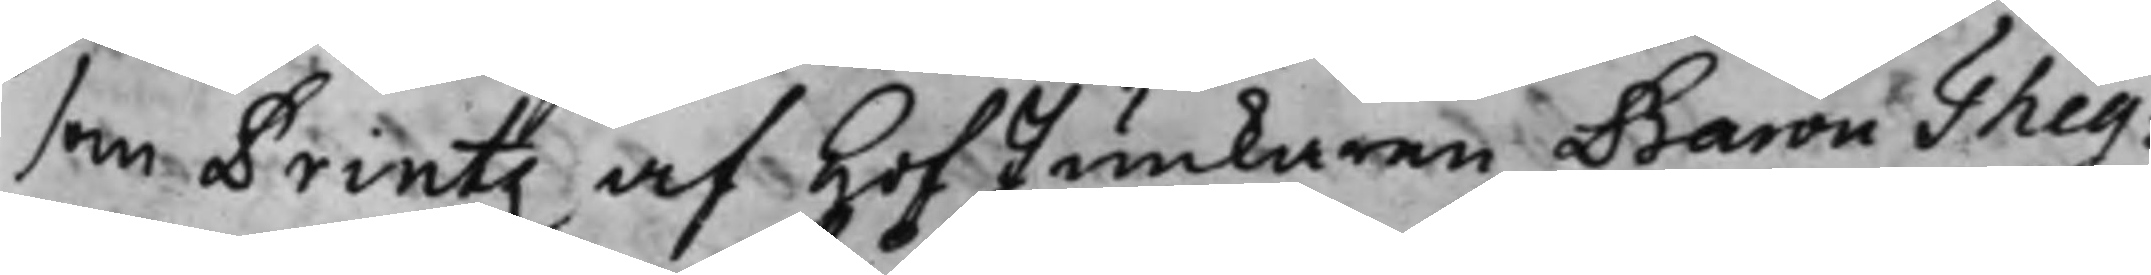som Printz af HofJunkaren Baron Theg¬
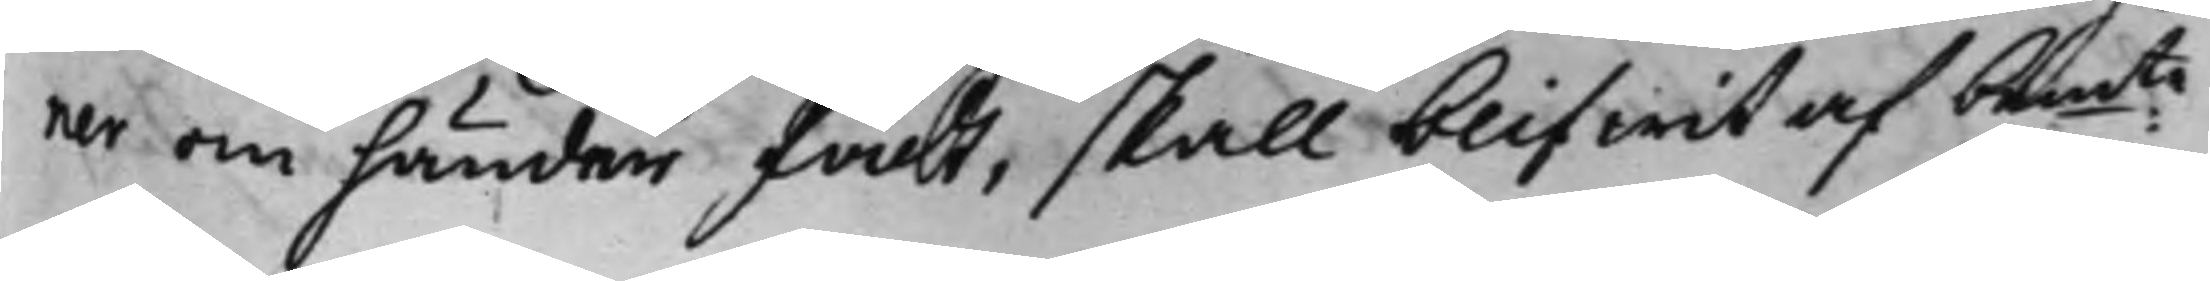ner om händer fådt, skall blifwit af bemte
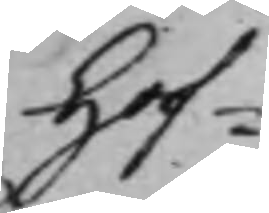Hof¬
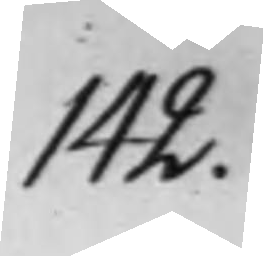142.
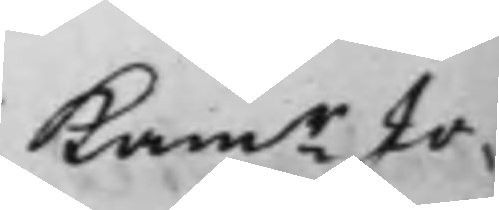Kamr Jo¬
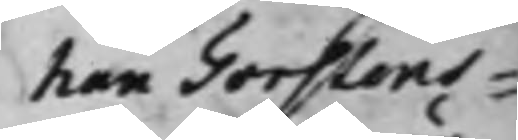han Torstens¬
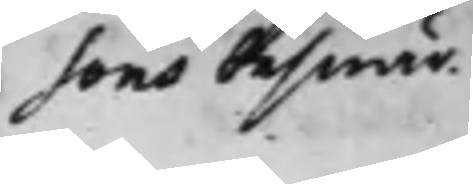sons beswär
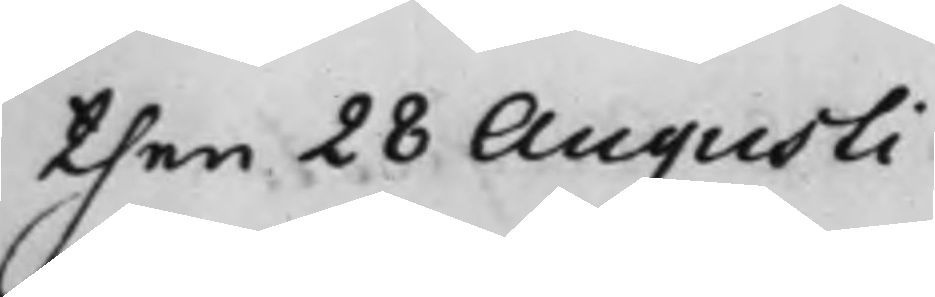then 28 Augusti
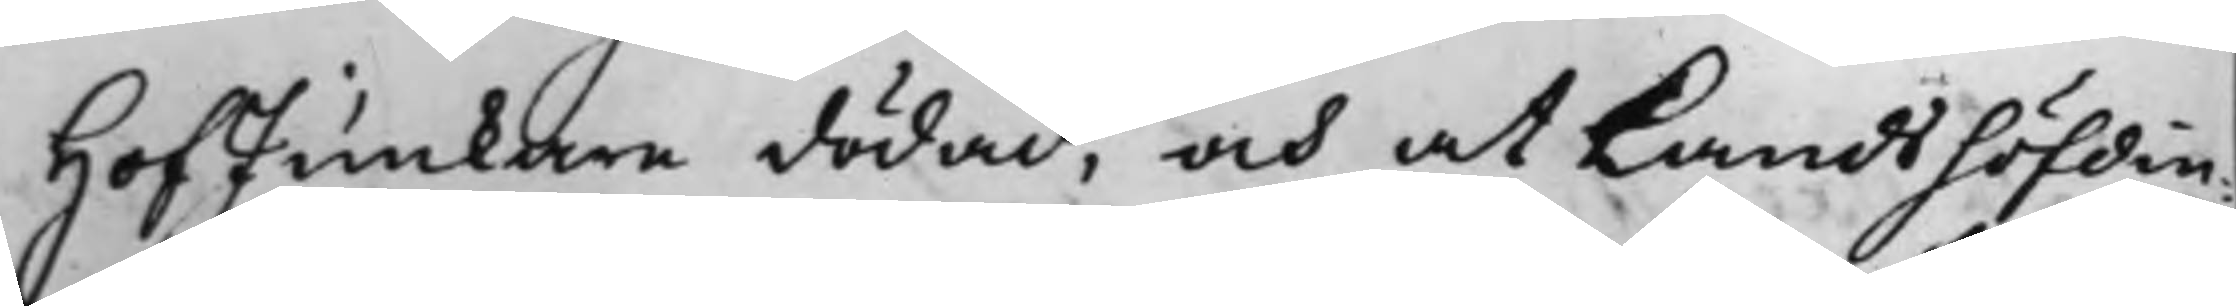HofJunkare dödad, och at Landshöfdin¬
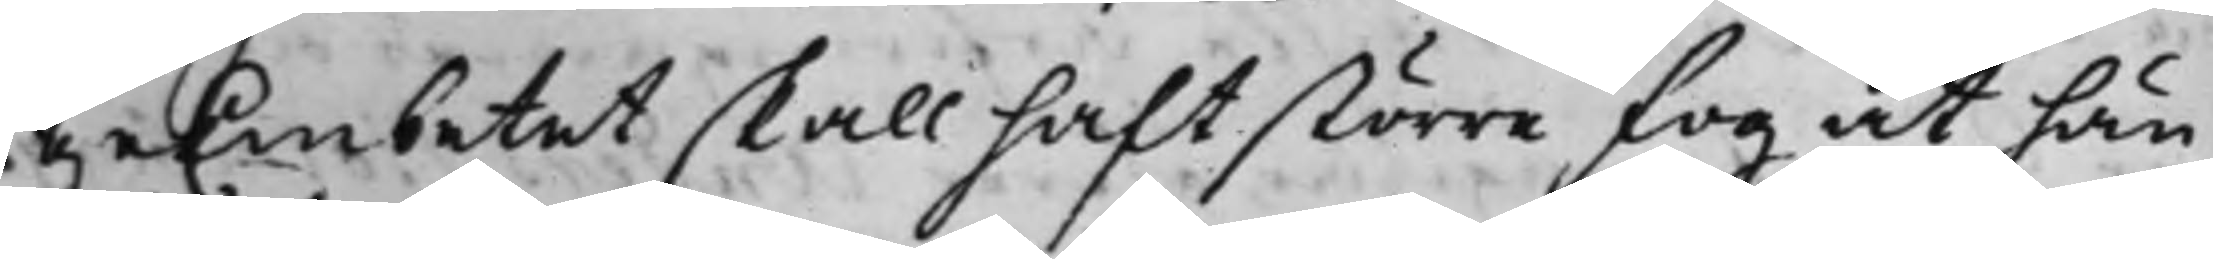geEmbetet skall haft större fog at hän¬
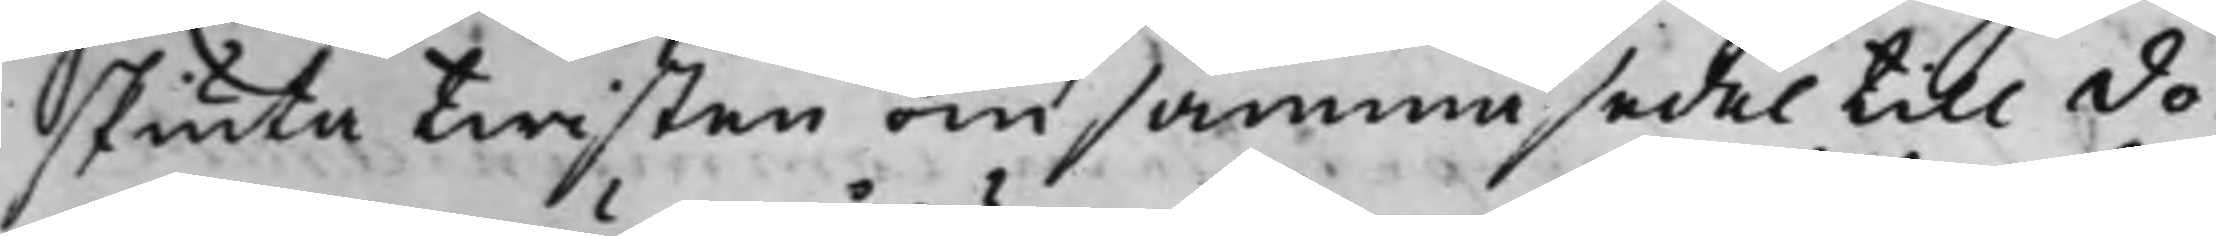skiuta twisten om samma sedel till do¬
